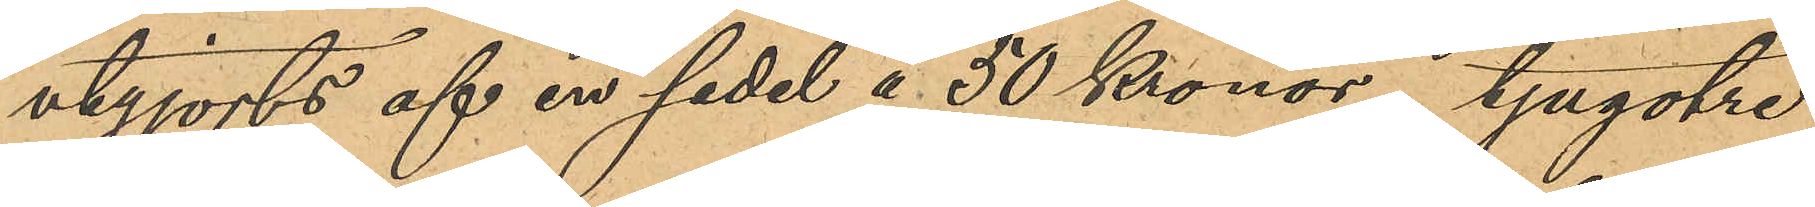utgjorts af en sedel å 50 Kronor, tjugotre
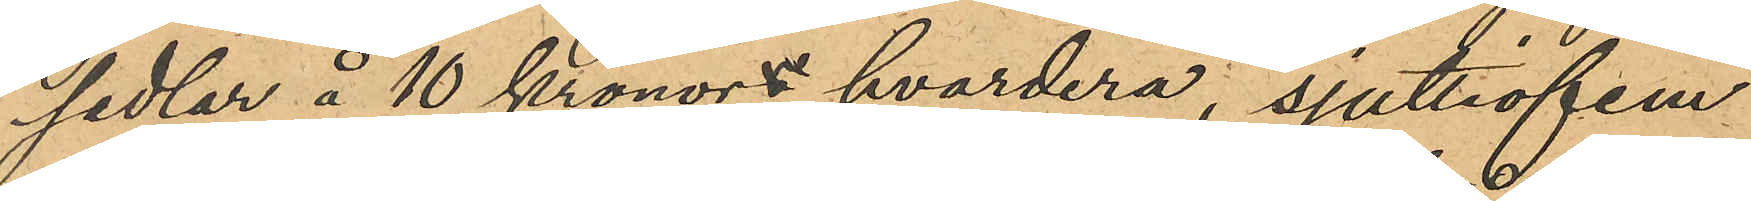sedlar å 10 Kronor hvardera, sjuttiofem
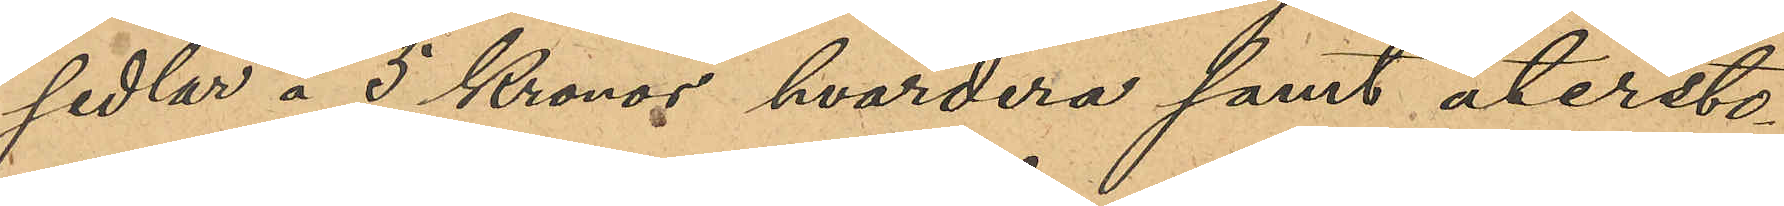sedlar å 5 Kronor hvardera samt återsto¬
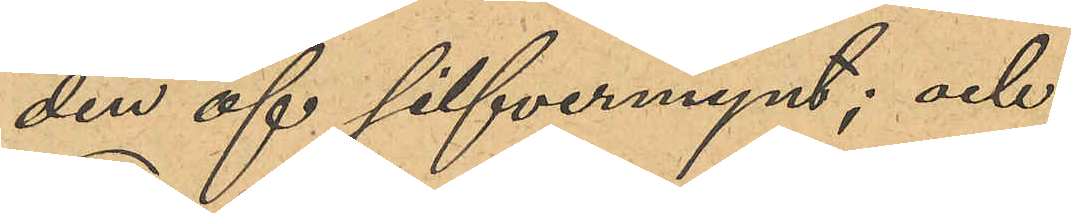den af silfvermynt; och
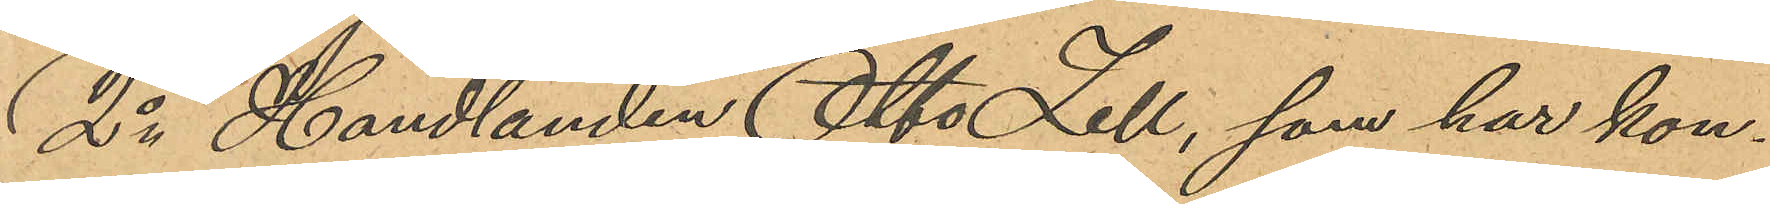2o Handlanden Otto Zell, som har kon¬
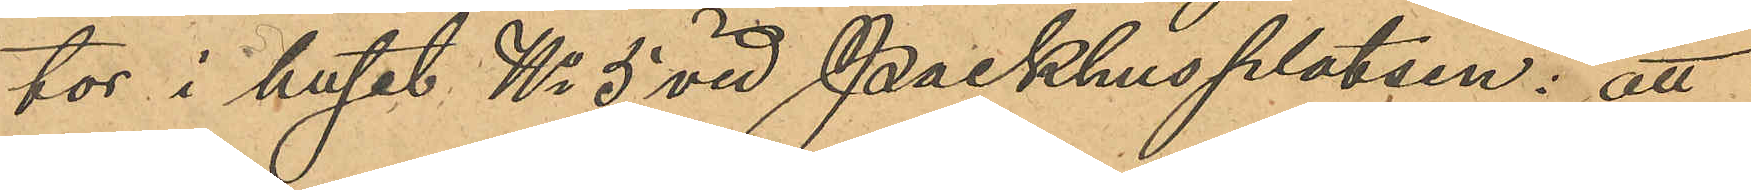tor i huset No 5 vid Packhusplatsen: att
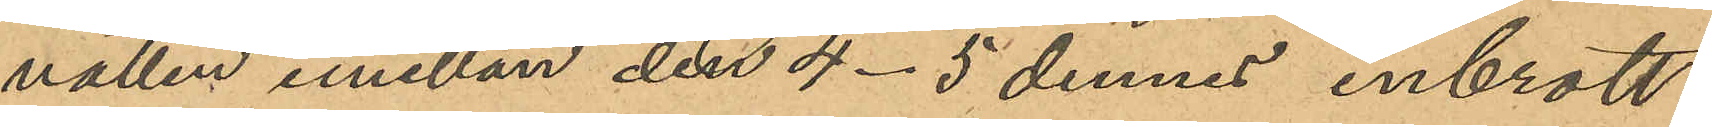natten emellan den 4-5 dennes inbrott
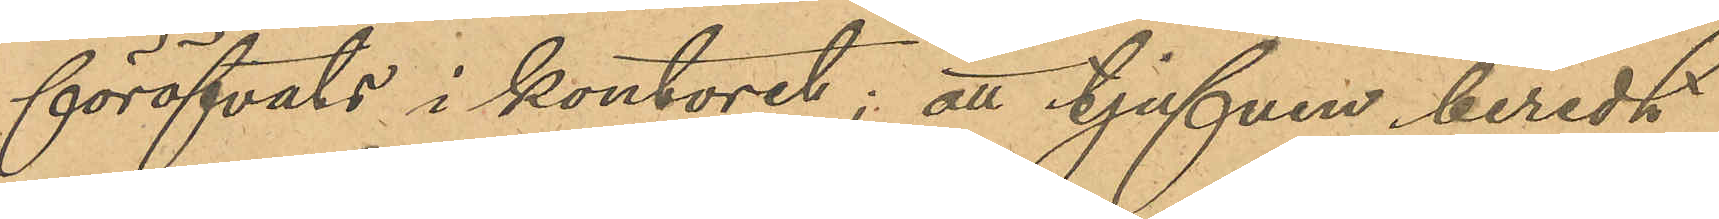föröfvats i kontoret; att tjufven beredt
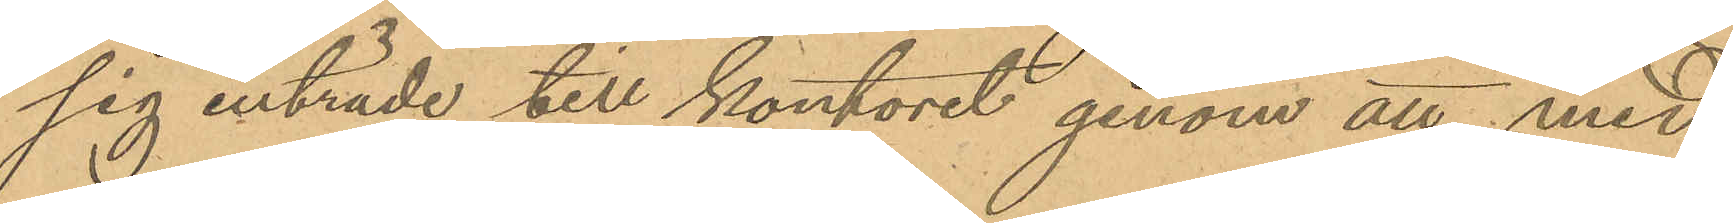sig inträde till kontoret genom att med
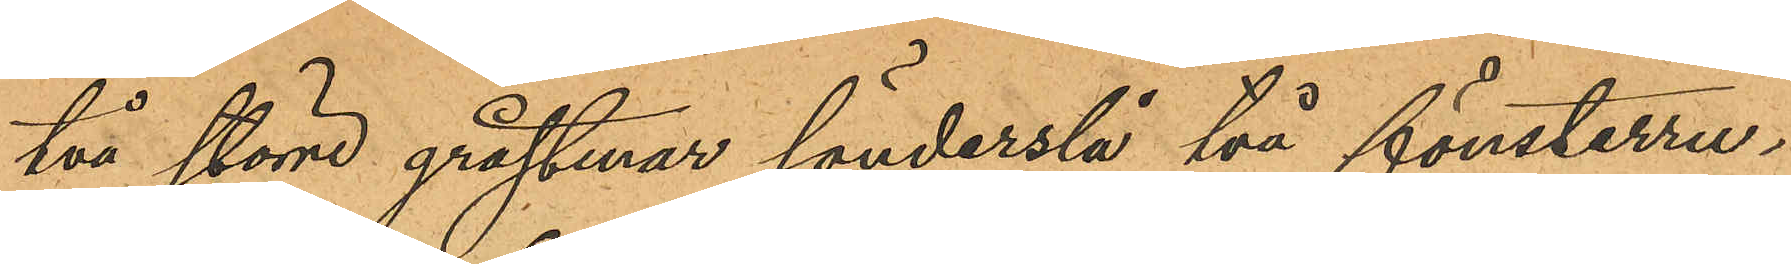två större gråstenar sönderslå två fönsterru¬
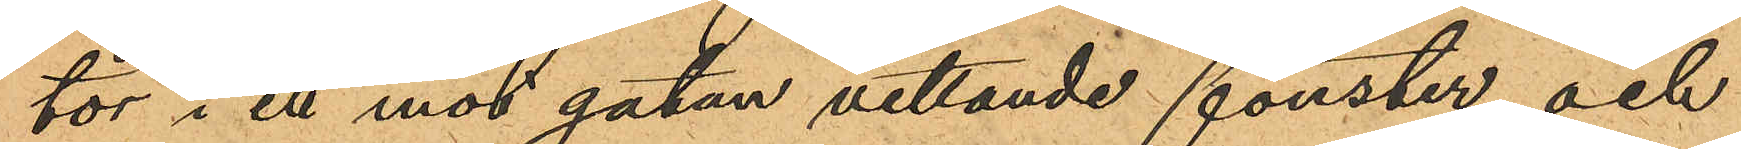tor i ett mot gatan vettande fönster och
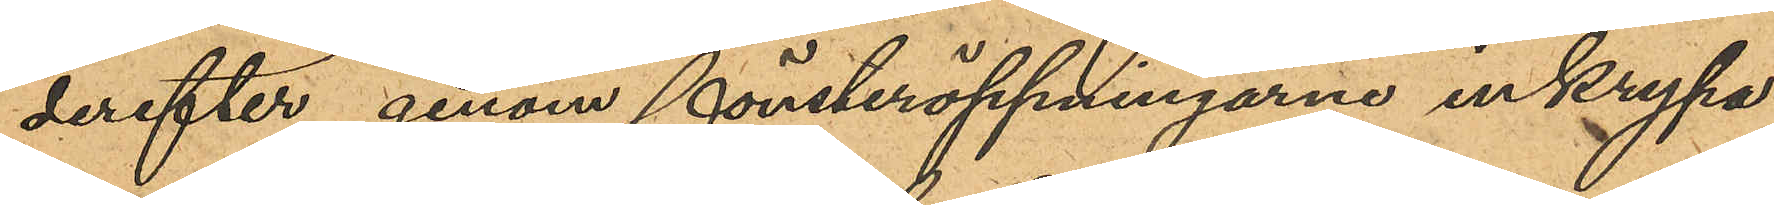derefter genom fönsteröppningarne inkrypa
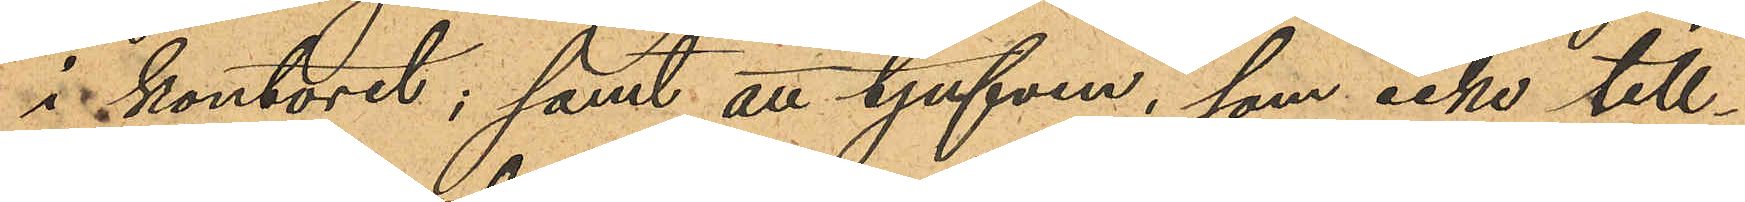i kontoret; samt att tjufven, som icke till¬
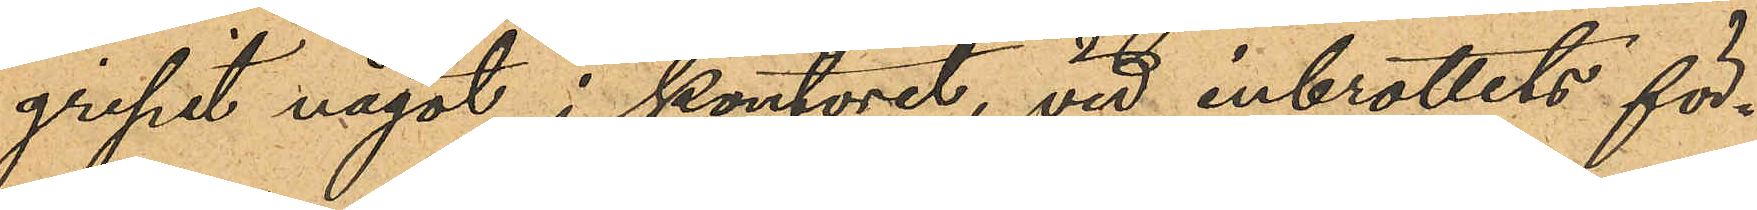gripit något i kontoret, vid inbrottets för¬
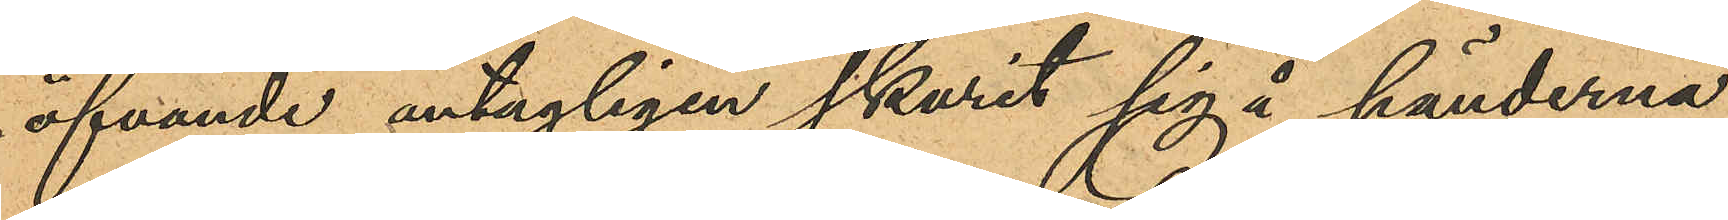öfvande antagligen skurit sig å händerna,
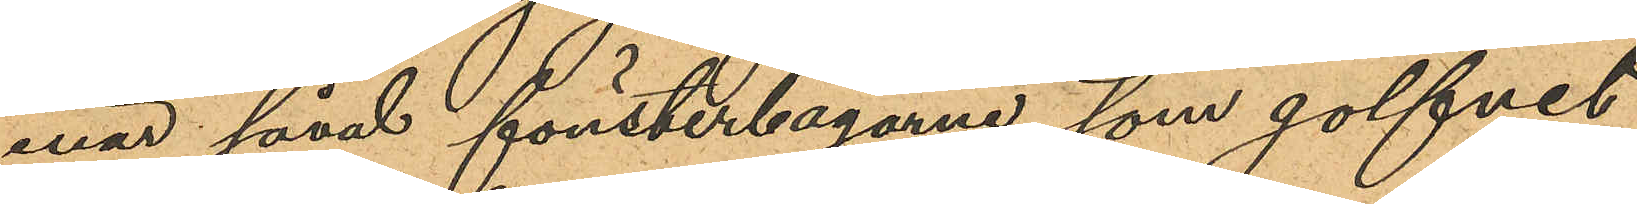enär såväl fönsterbågarne, som golfvet
